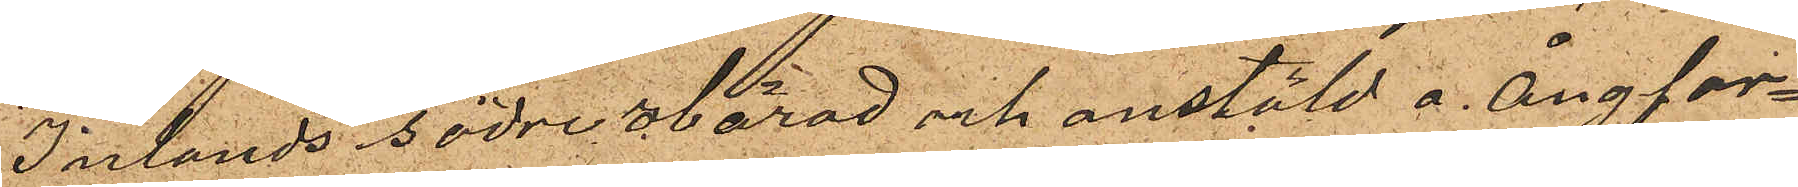Inlands Södre Härad och anstäld å Ångfar¬
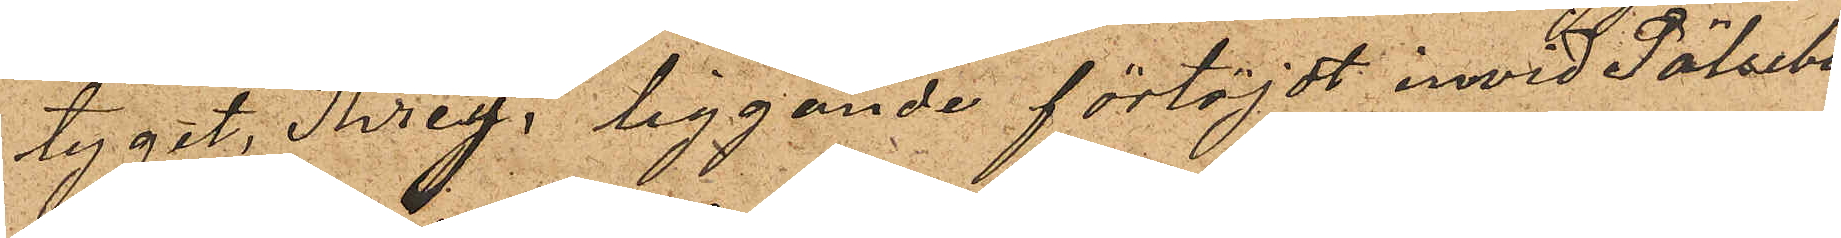tyget, "Threy", liggande förtöjdt invid Pölsebo
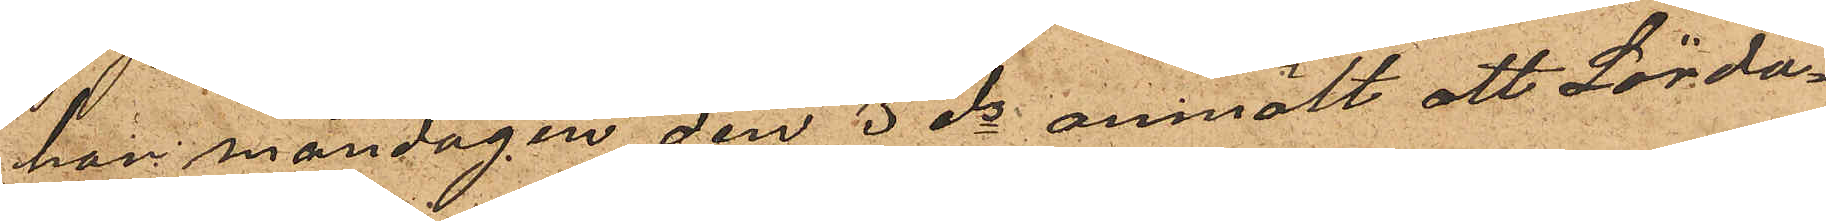har måndagen den 3 ds anmält att Lörda¬
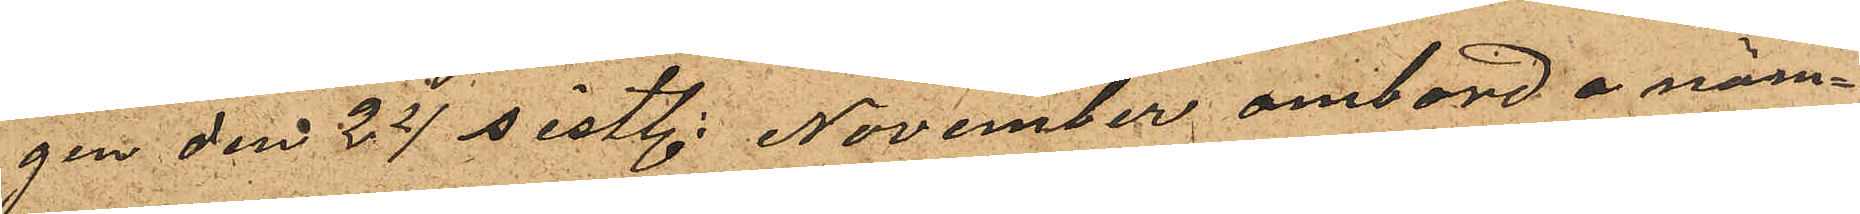gen den 24 sistl. November ombord å näm¬
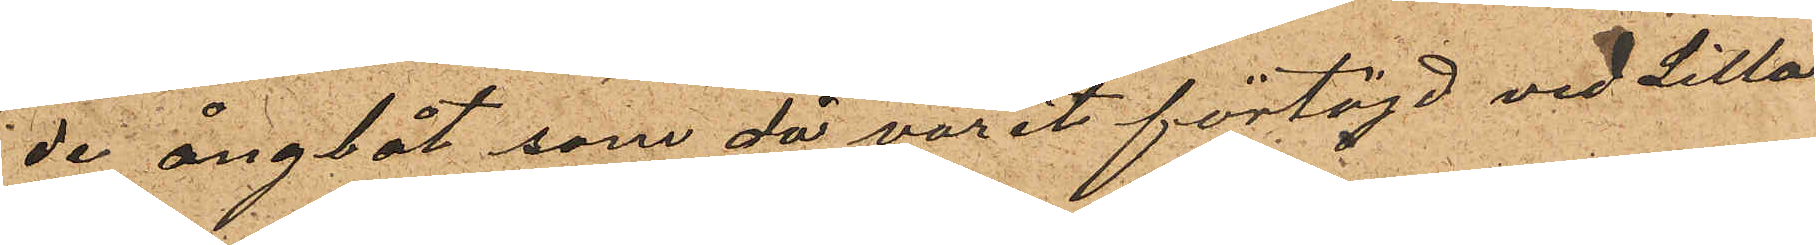de ångbåt, som då varit förtöjd vid Lilla
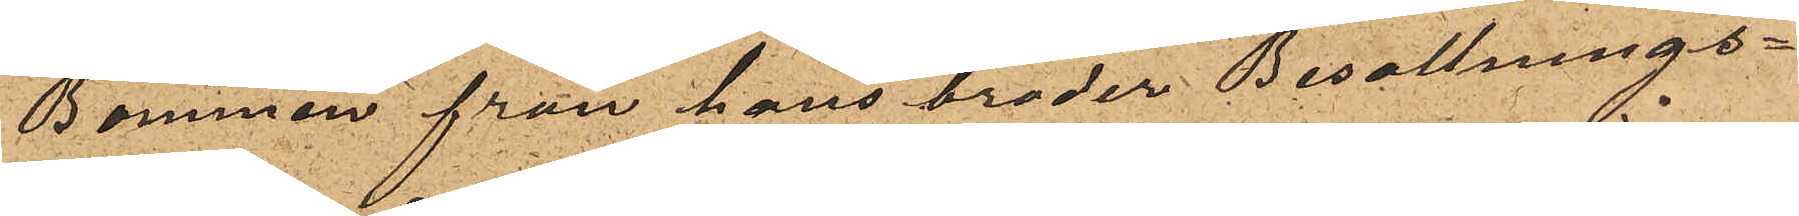Bommen från hans broder Besättnings¬
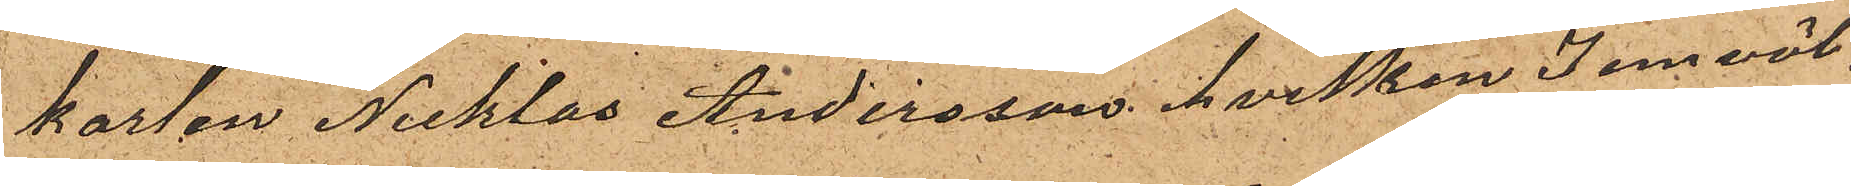karlen Nicklas Andersson, hvilken jemväl
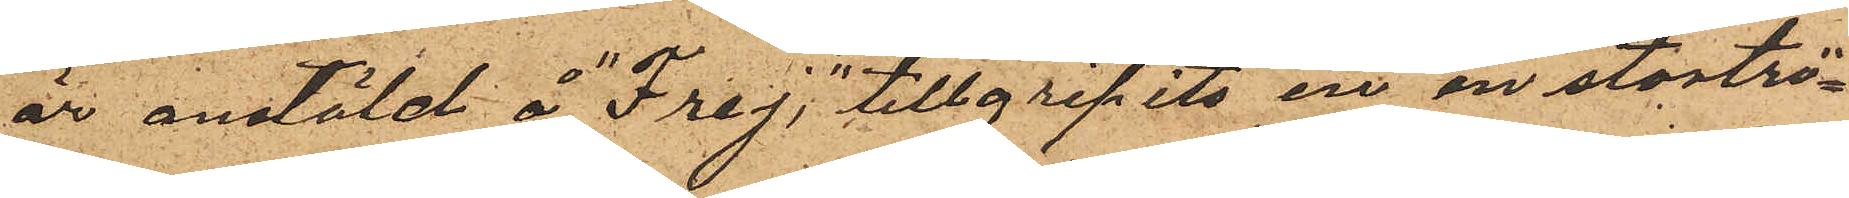är anstäld å "Frej", tillgripits en en stortrö¬
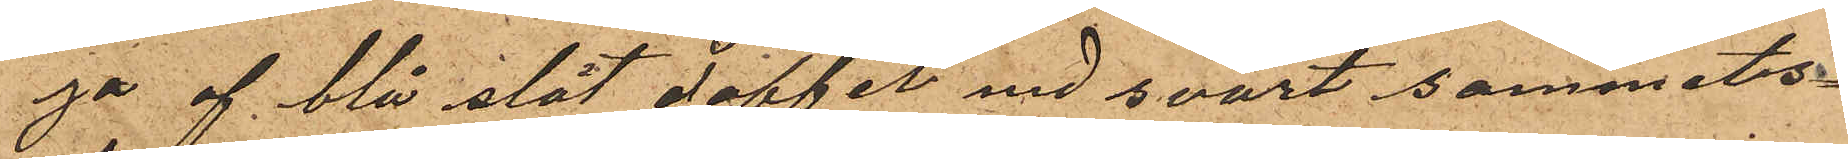ga af blå slät doffel med svart sammets¬
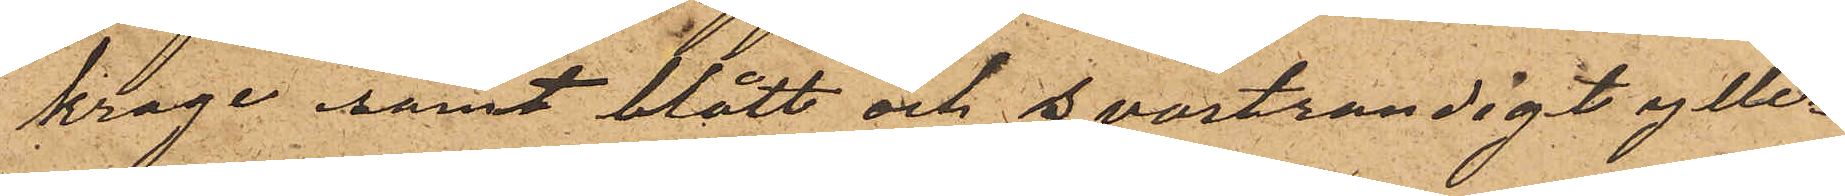krage samt blått och svartrandigt ylle¬
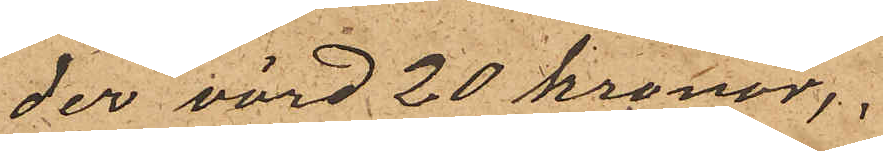der värd 20 kronor;
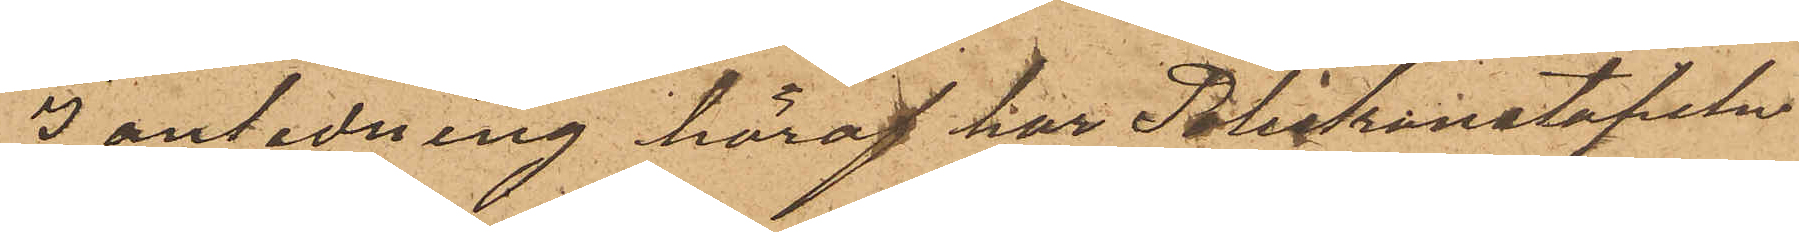I anledning häraf har Poliskonstapeln
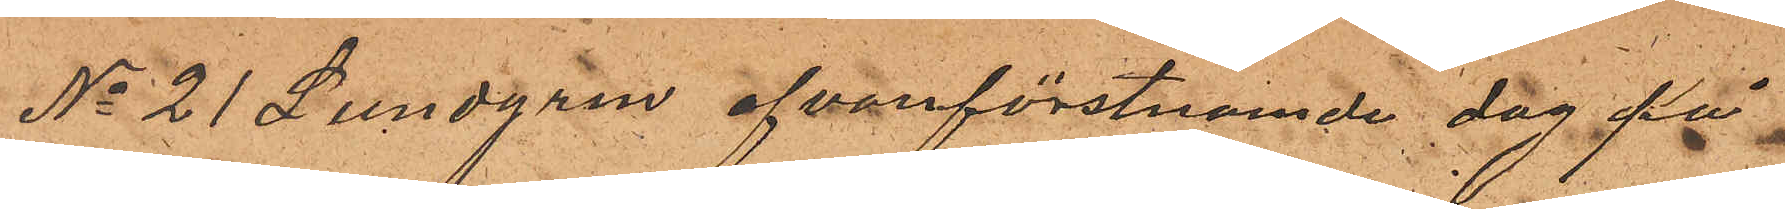No 21 Lundgren ofvanförstnamde dag på
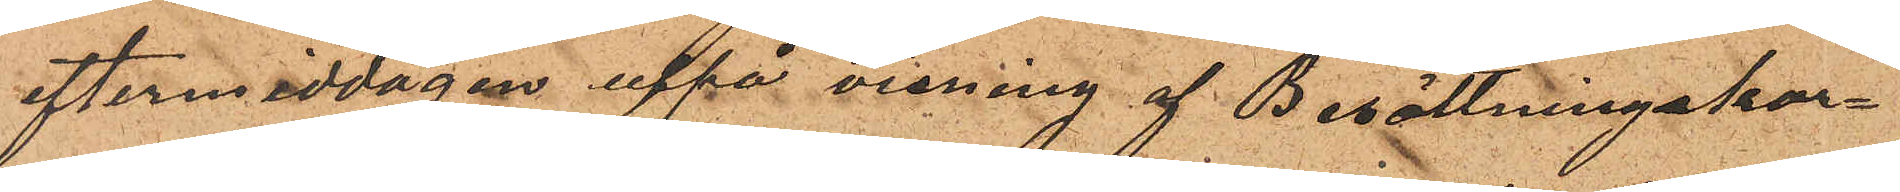eftermiddagen uppå visning af Besättningskar¬
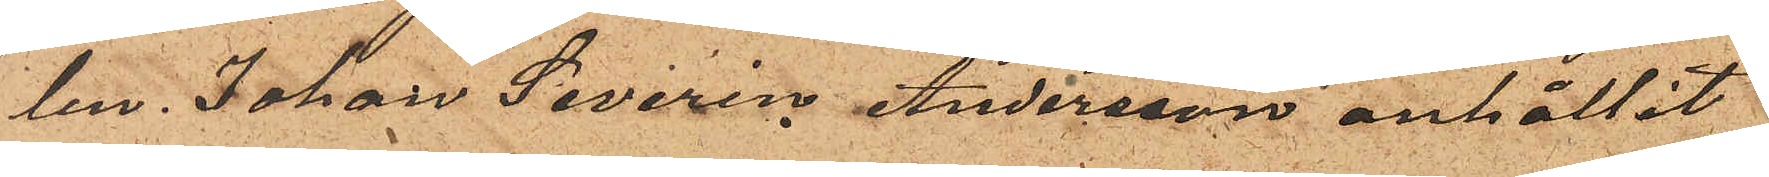len. Johan Severin Andersson anhållit
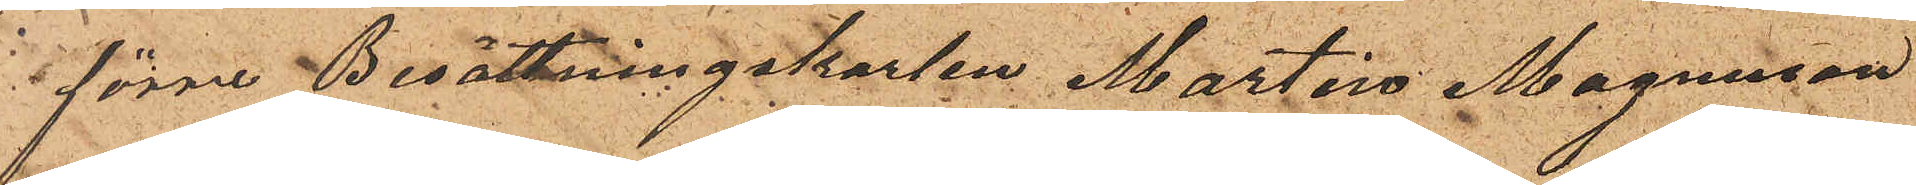förre Besättningskarlen Martin Magnusson
